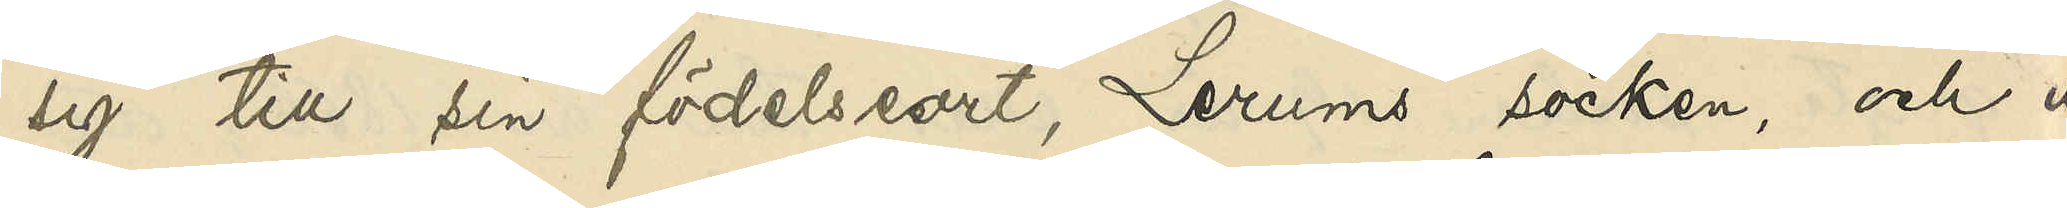sig till sin födelseort Lerums socken, och ut¬
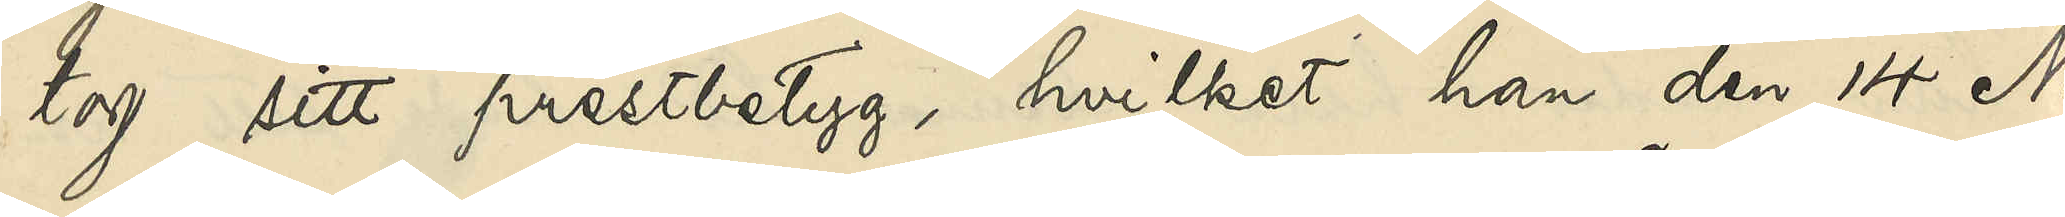tog sitt prestbetyg, hvilket han den 14 No¬
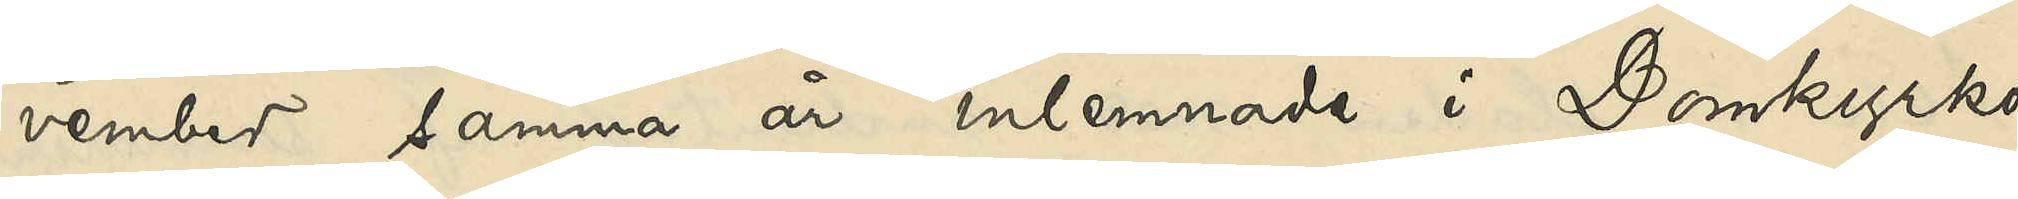vember samma år inlemnade i Domkyrko¬
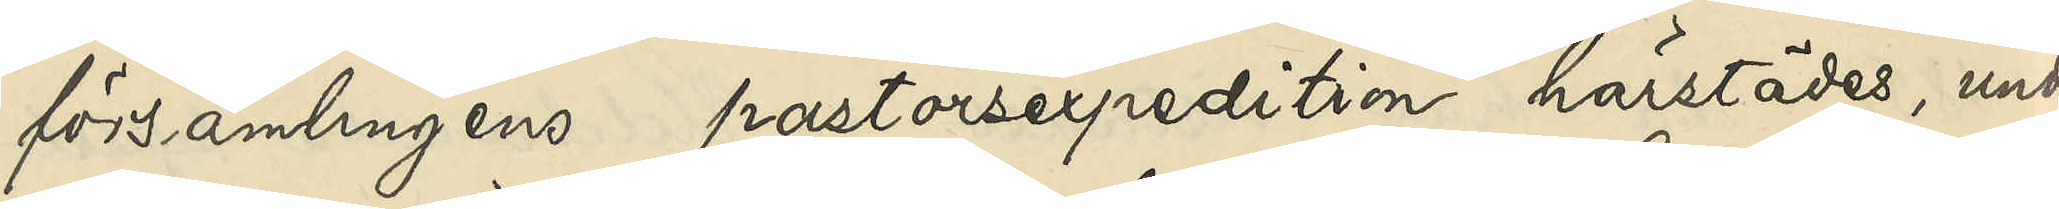församlingens pastorsexpedition härstädes, under
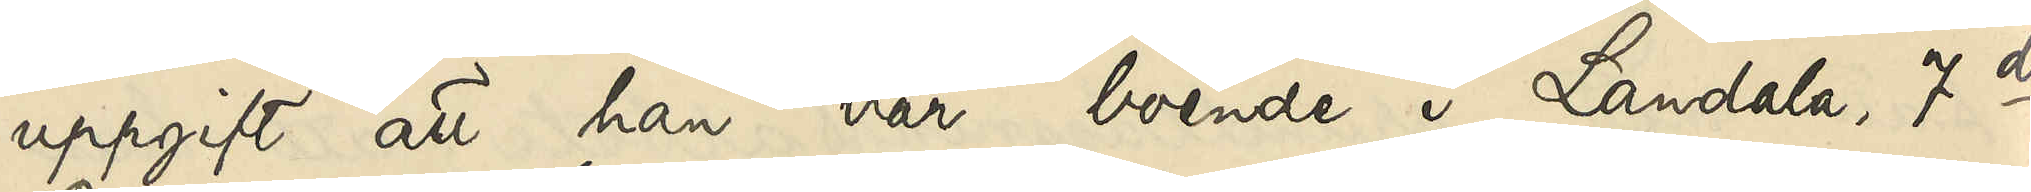uppgift att han var boende i Landala, 7de
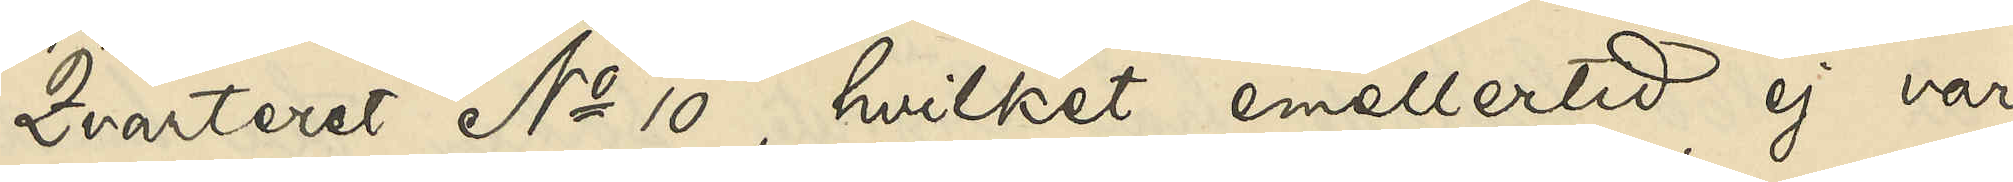Qvarteret No 10, hvilket emellertid ej var
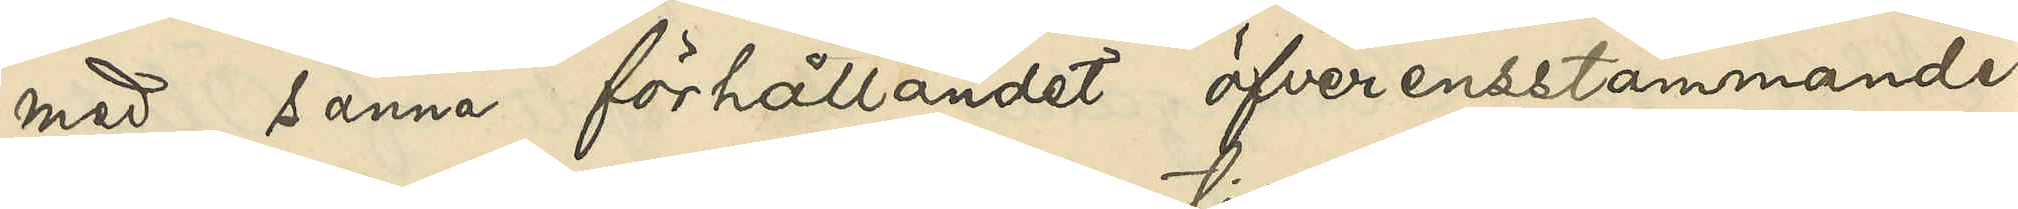med sanna förhållandet öfverensstämmande,
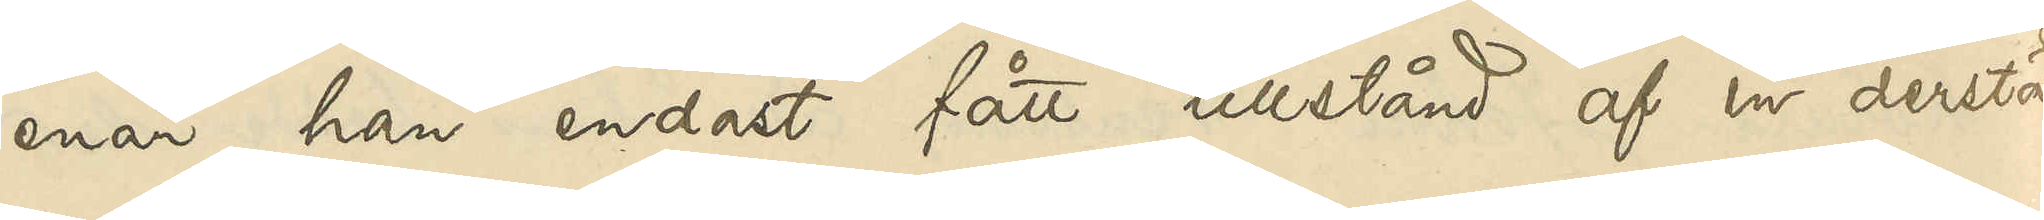enär han endast fått tillstånd af en derstädes
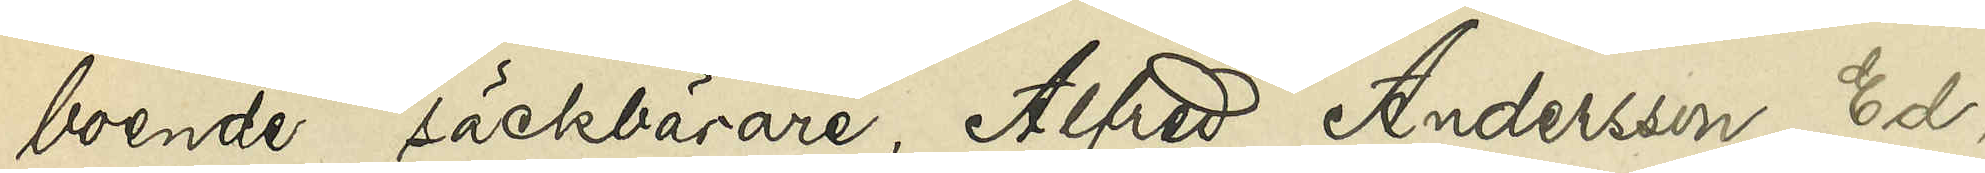boende säckbärare, Alfred Andersson Ed,
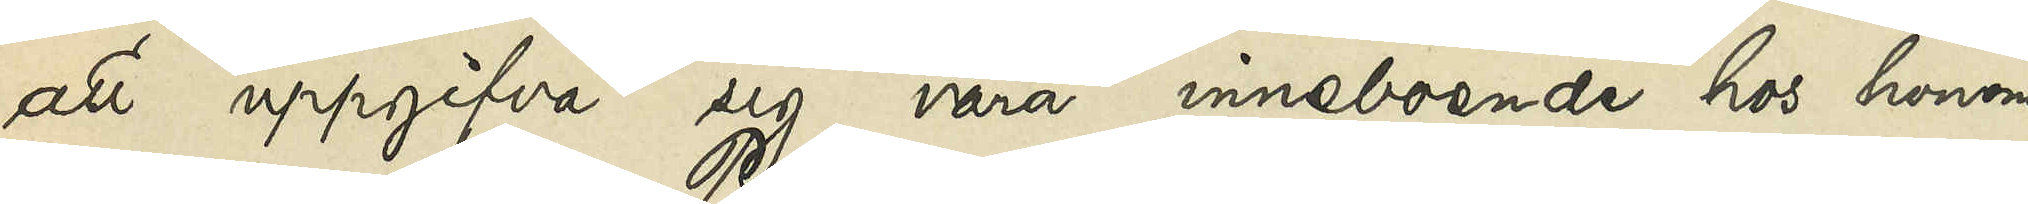att uppgifva sig vara inneboende hos honom.
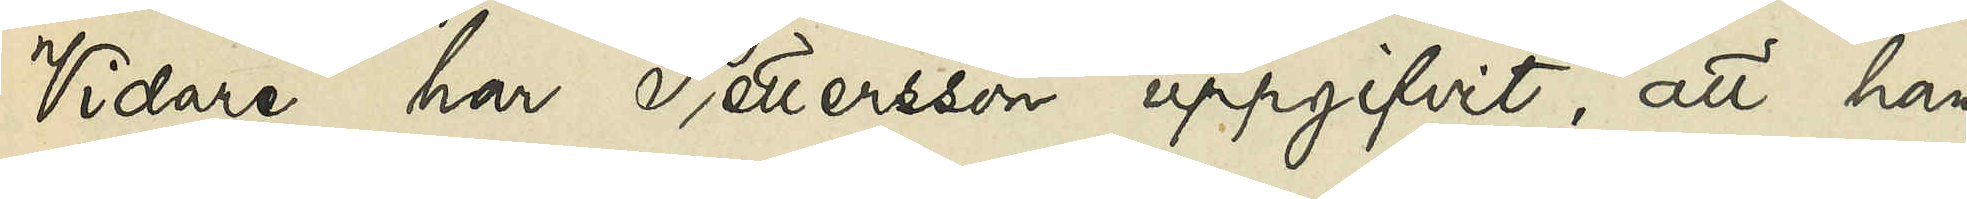Vidare har Pettersson uppgifvit, att han
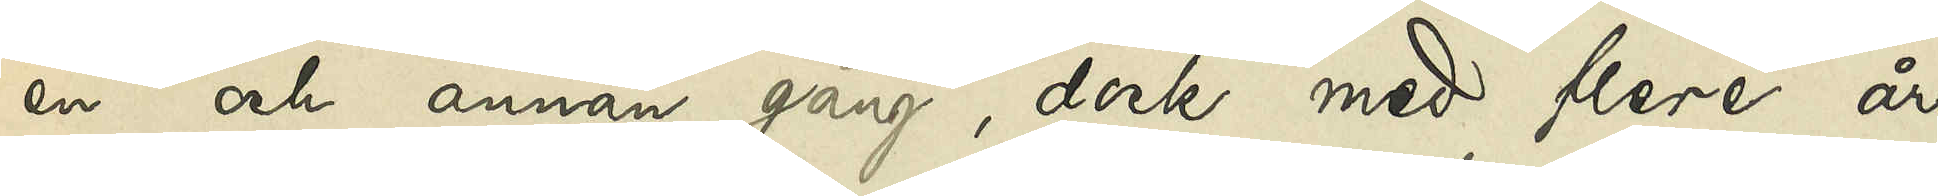en och annan gång, dock med flere års
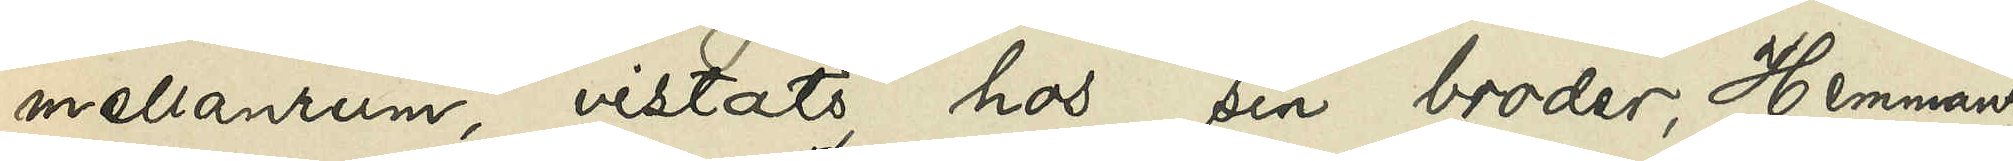mellanrum, vistats hos sin broder, Hemmans¬
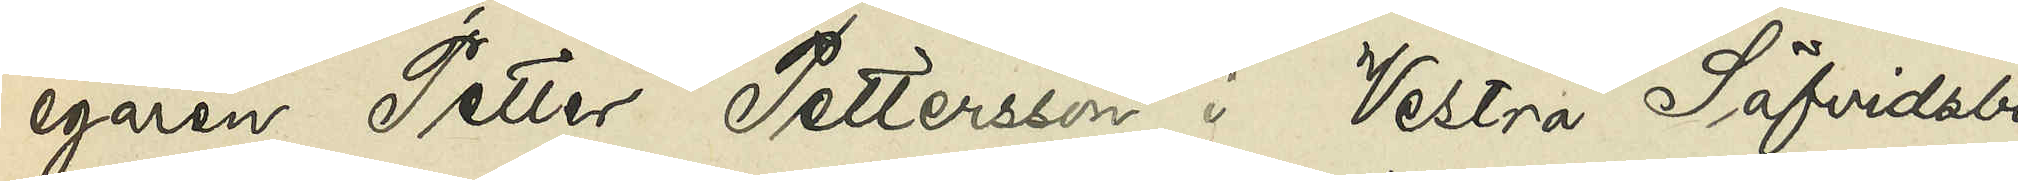egaren Petter Pettersson i Vestra Säfvidsbo
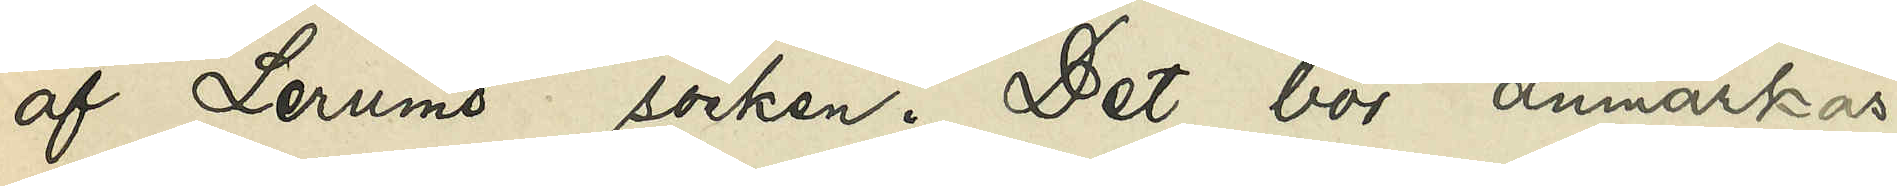af Lerums socken. Det bör anmärkas,
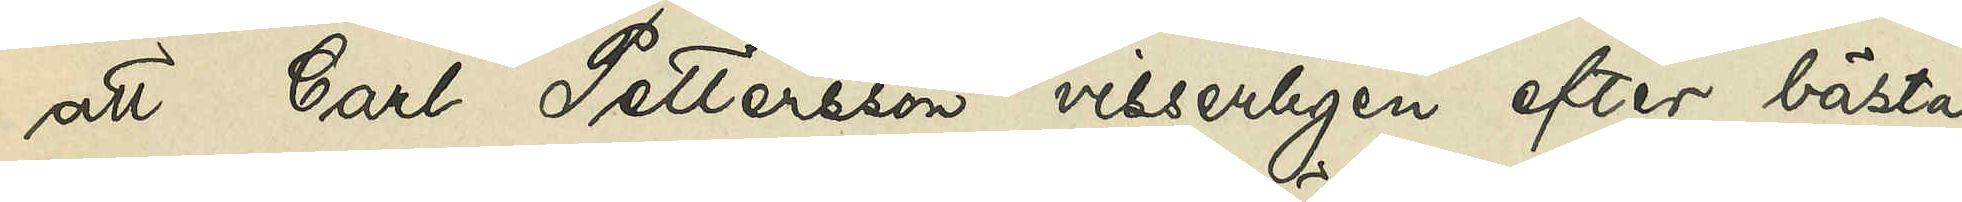att Carl Pettersson visserligen efter bästa
